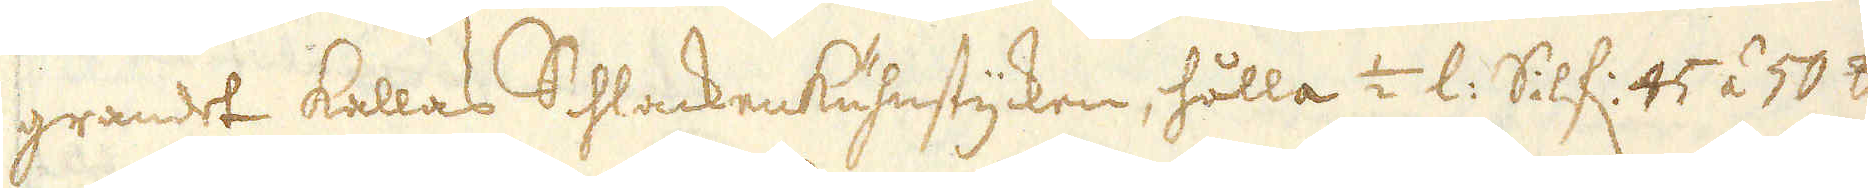grandet kallas Schlackenkuhnstycken, hålla 1/2 l: Silf: 45 á 50 skålpund
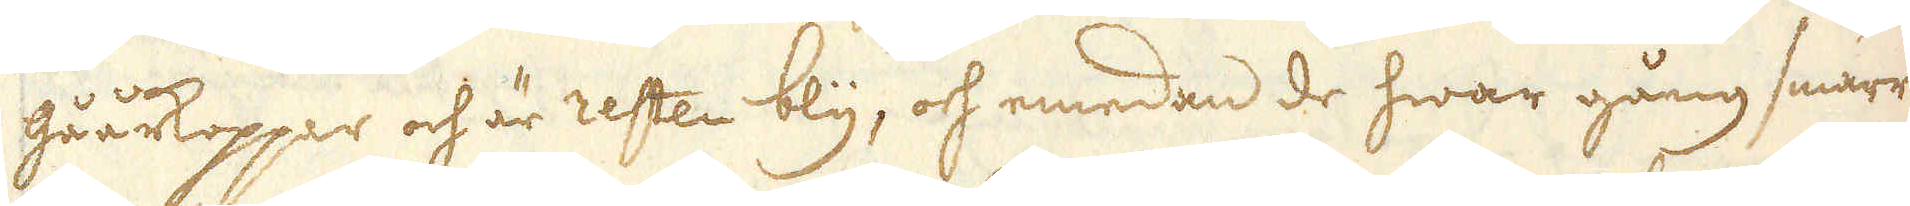gåårkoppar och är resten bly, och emedan de hwar gång smärre
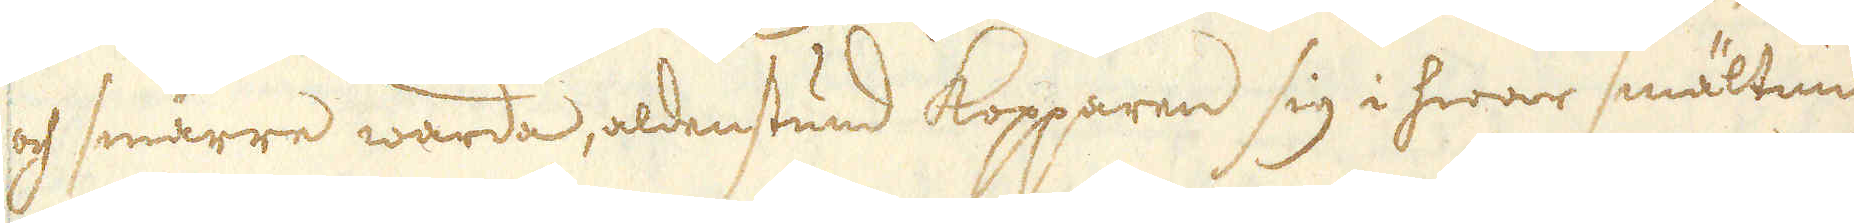och smärre warda, aldenstund Kopparen sig i hwar smältning
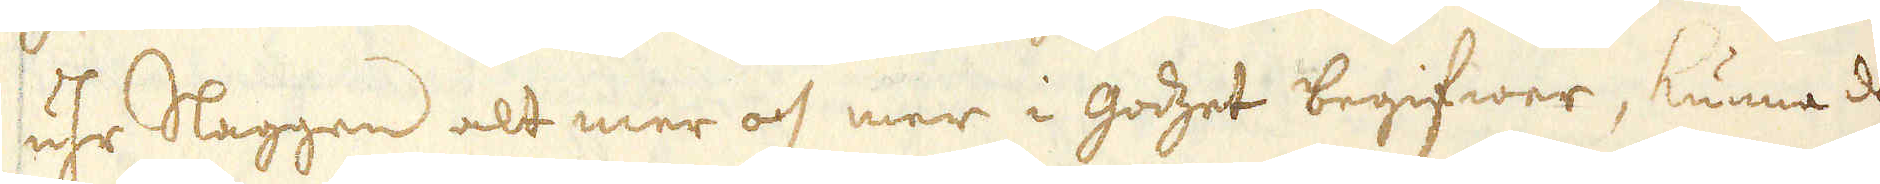uhr Slaggen alt mer och mer i godzet begifwer, kunna de
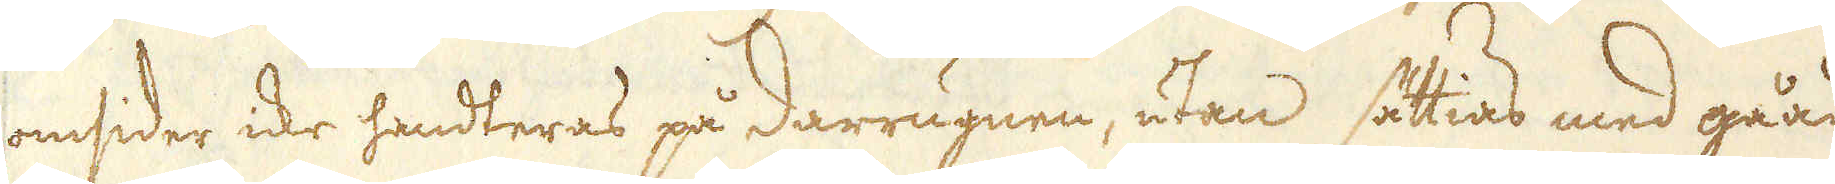omsider icke handteras på darrugnen, utan sättias med gåår
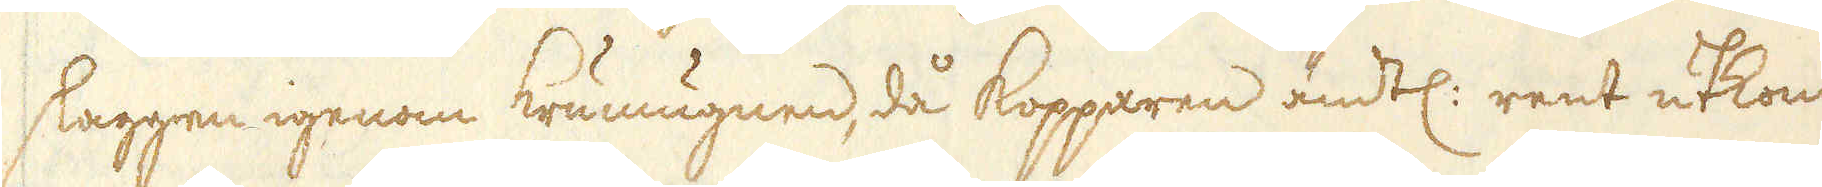slaggen igenom krumugnen, då kopparen ändtl: rent utkommer.
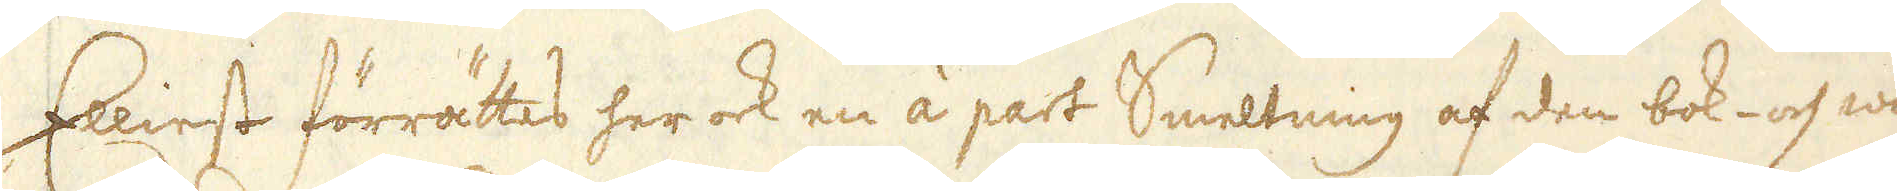Elliest förrättas her ock en àá part Smeltning af den bok- och ai-
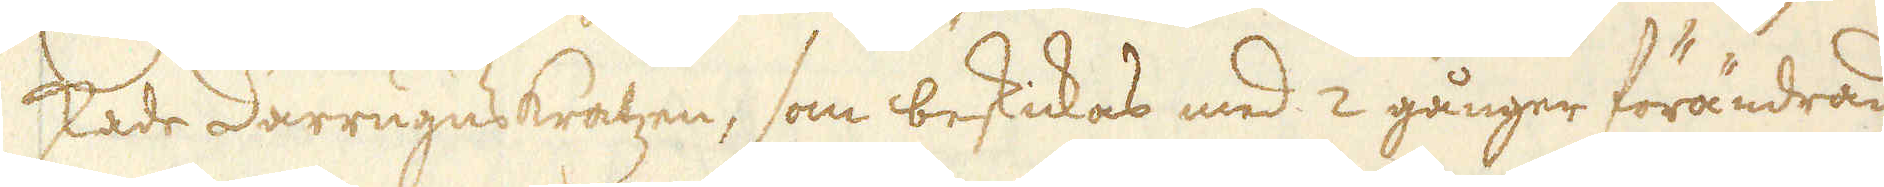skade darrugnskratzen, som beskickas med 2 gånger förändrad
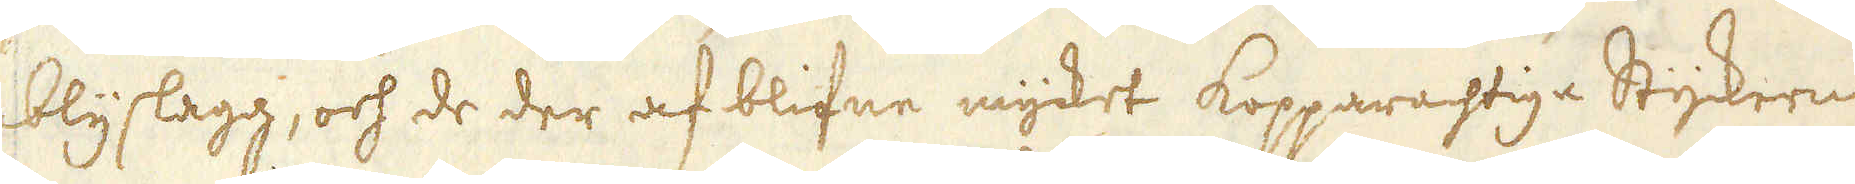blyslagg, och de der af blifne mycket kopparachtiga Styckerne
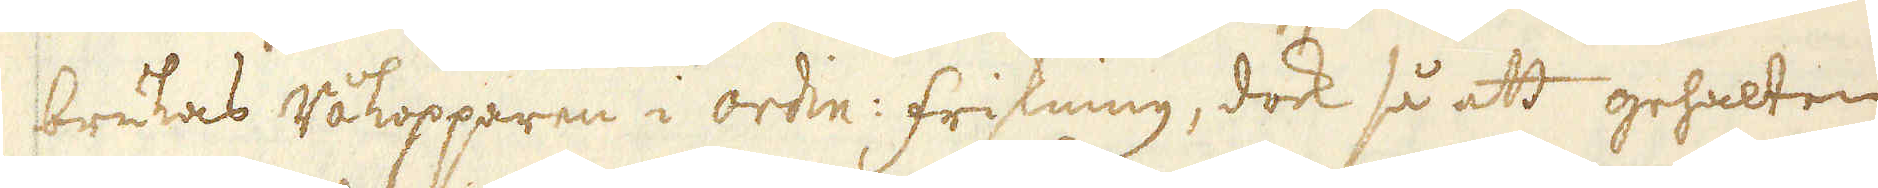brukas råkopparen i ordin: friskning, dock så att gehalten
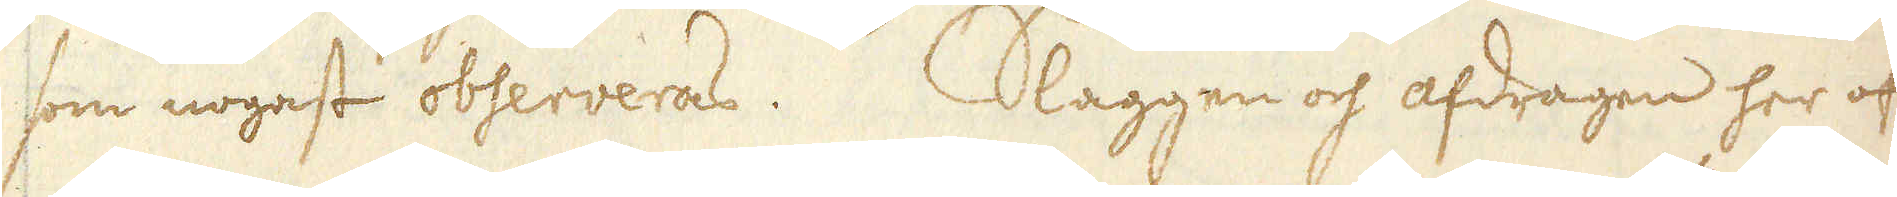som nogast observeras. Slaggen och afdragen her och
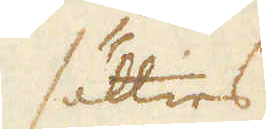sätties
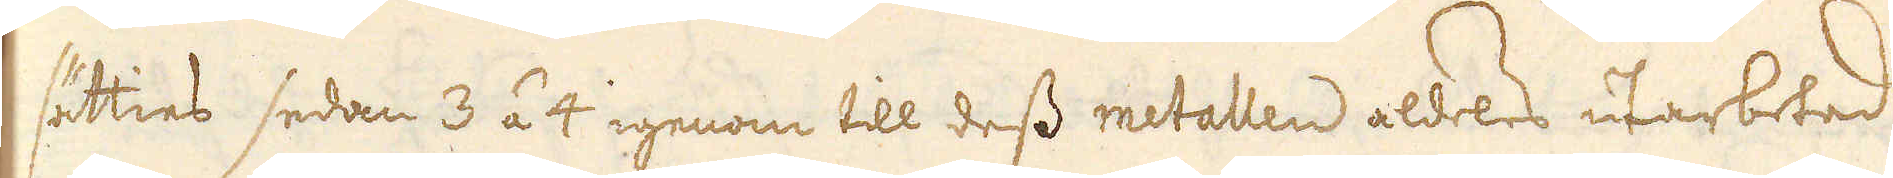sätties sedan 3 á 4 igenom till dess metallen aldels utarbetad
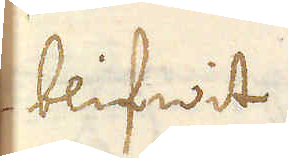blifwit.
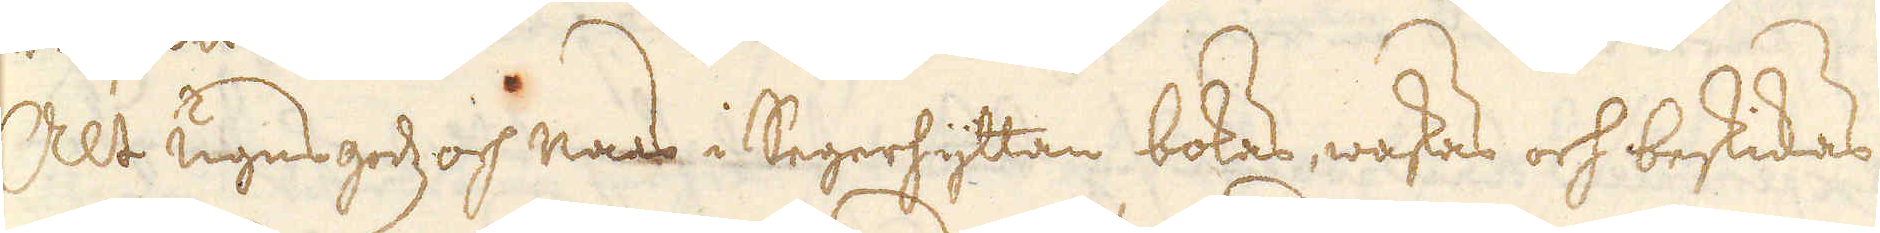Allt ugnsgodz och naas i Segerhyttan bokas, waskas och beskickas
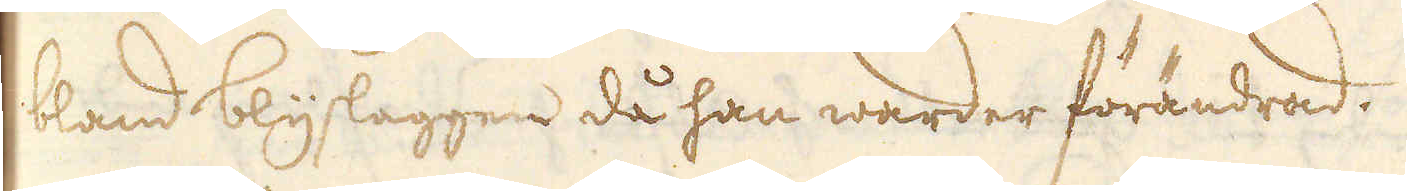bland blyslaggen då han warder förändrad.
